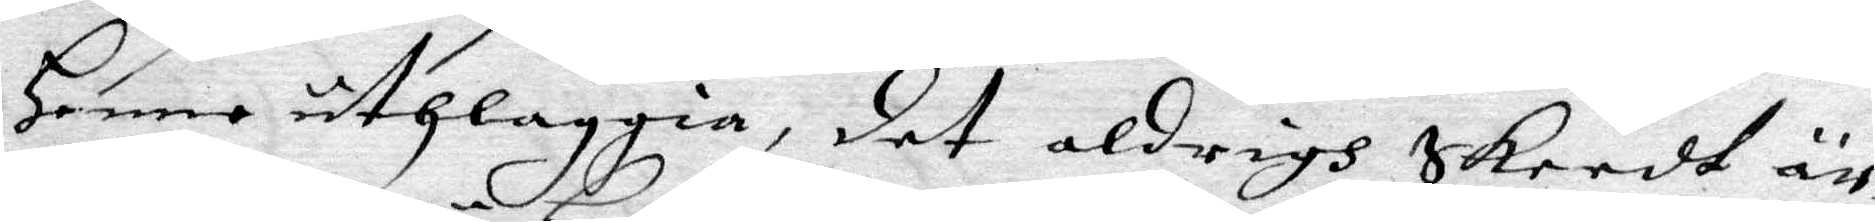Henne uthleggia, det aldrigh Skeedt är,
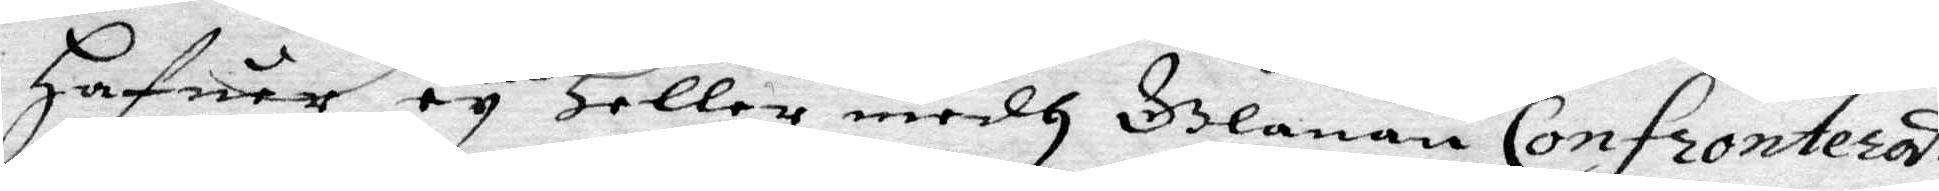Hafuer ey Heller medh Glanan Confronterst
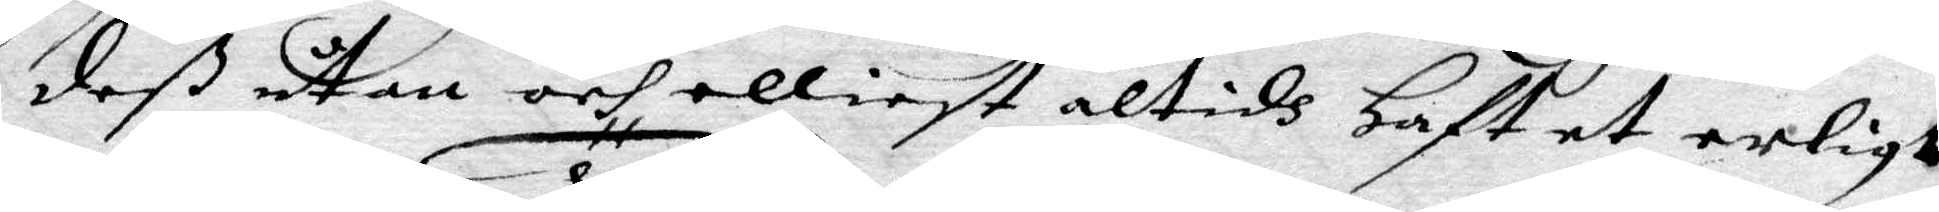deß utan och elliest altidh Haft et erligt
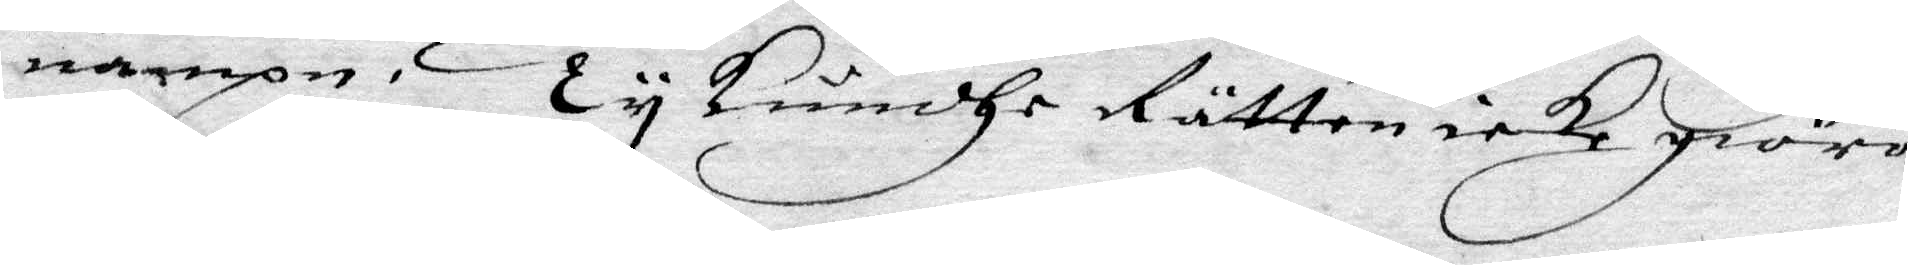nampn. Ty kundhe Rätten icke giöra
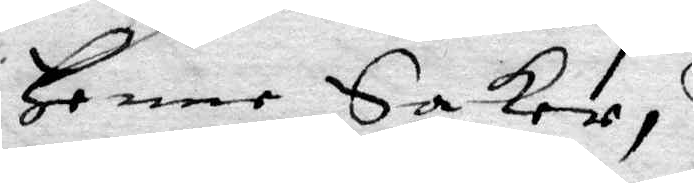Henne Saker,
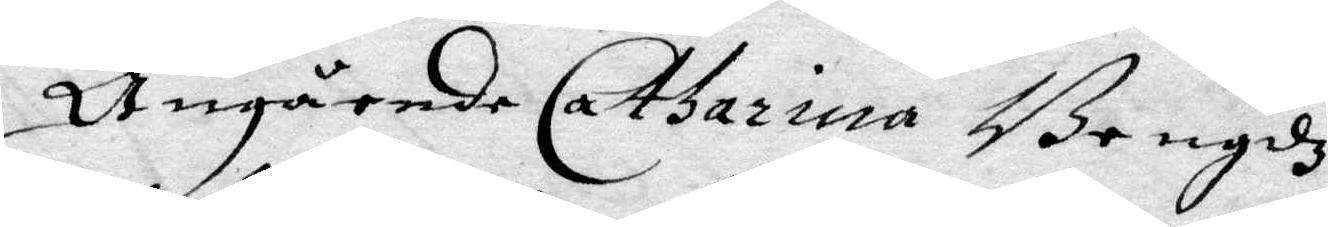Angående Catharina Bengdz
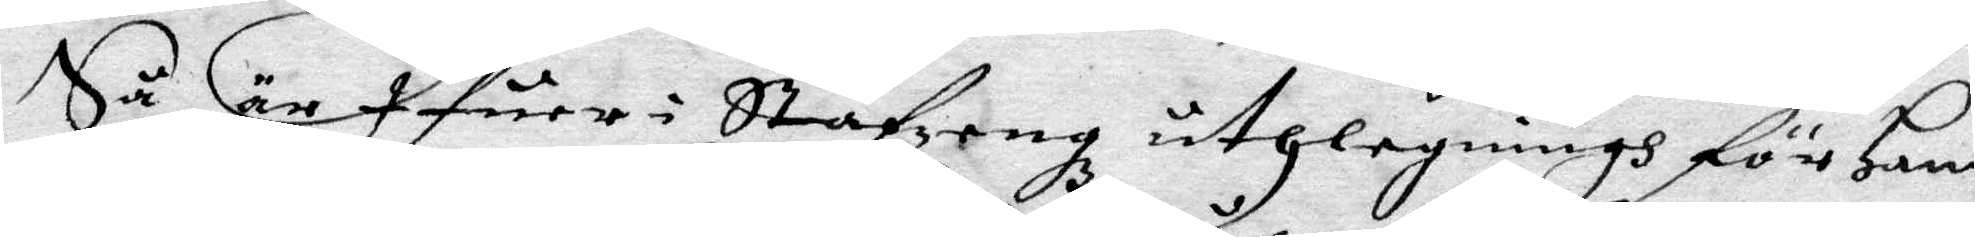Så är Ifuer i Stafzeng uthlaningh för Hans
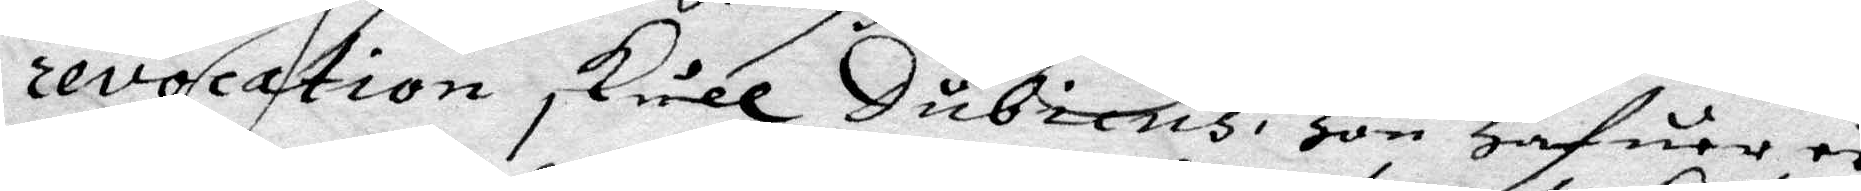revocation skull Dubicus, Hon Hafuer ey
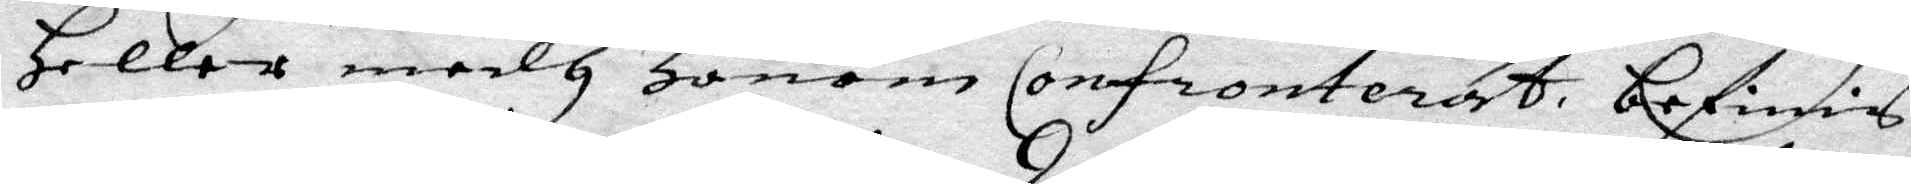Heller medh Honom Confronterat befinis
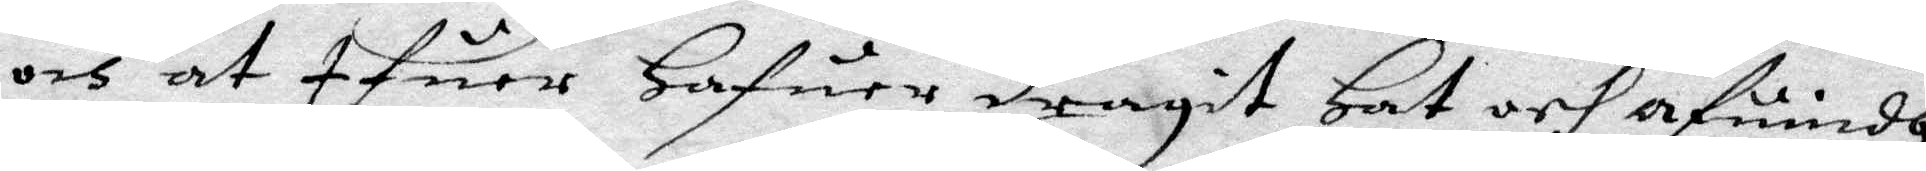och at Ifuer Hafuer dragit Hat och afindh
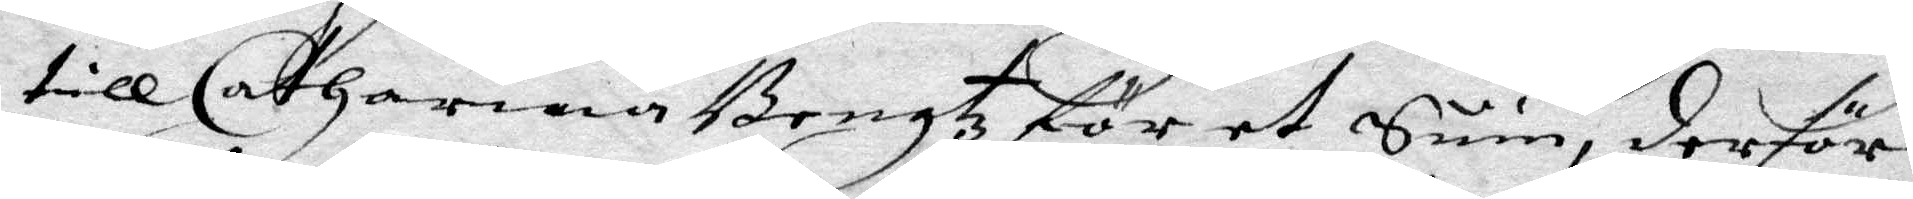till Catharina Bengtz för et Suin, derföre
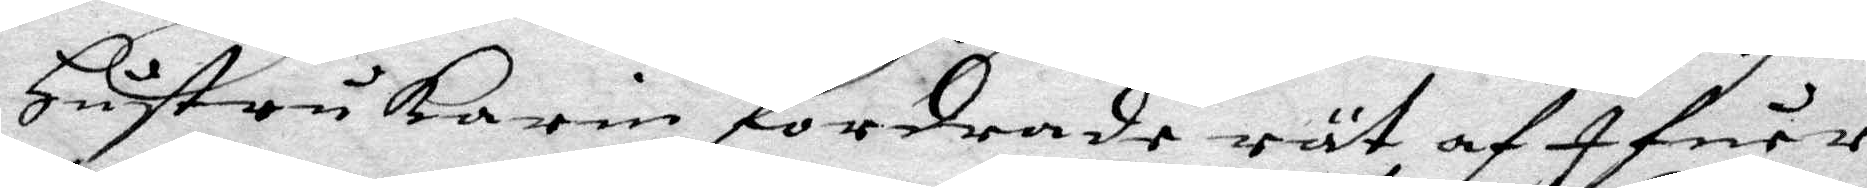Hustru Karin fordrade rät af Ifuer
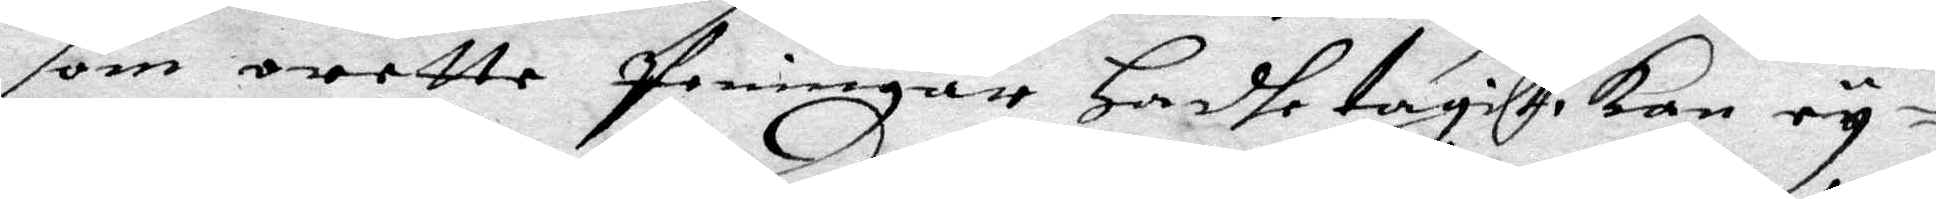som orette Peningar hadhe tagit, kan ey
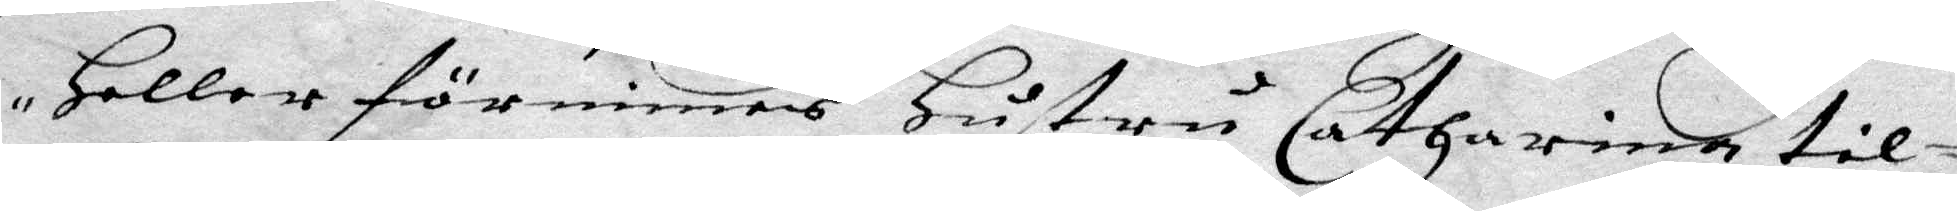Heller förnimas Hustru Catharina til¬
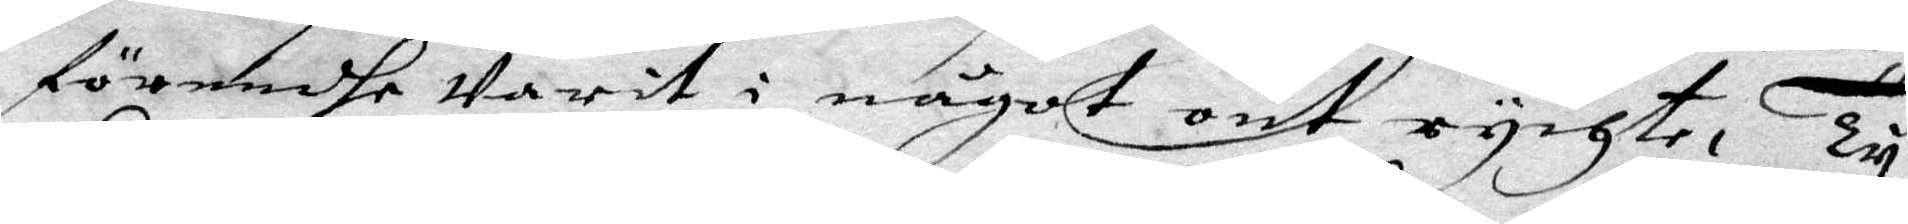förendhe Varit i något ont rychte, Ty
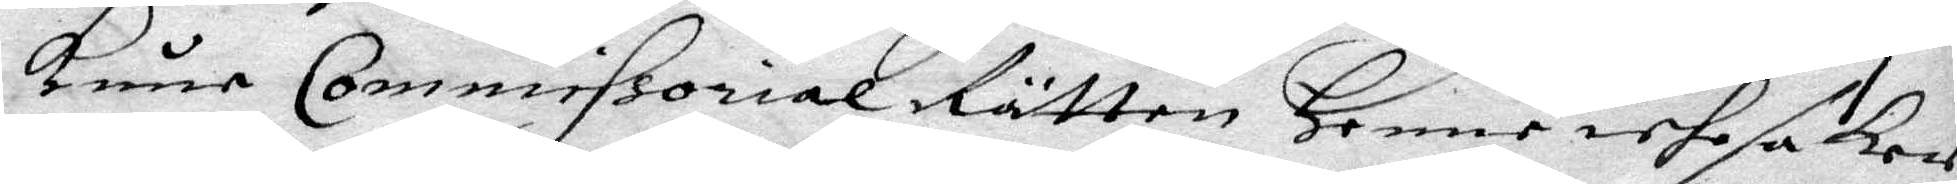kune Commissorial Rätten Henne iche saker
